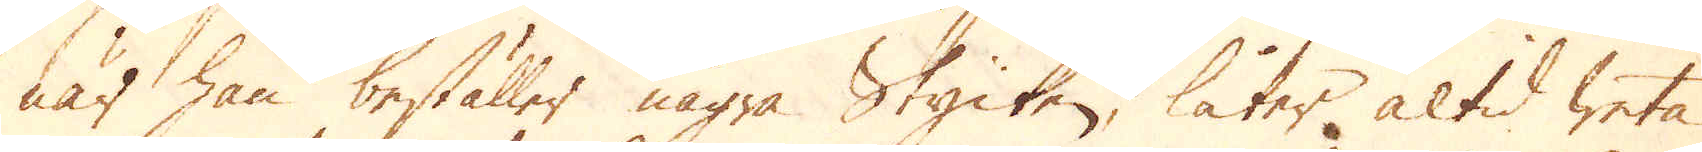när han beställer några Stycken, låter altid weta
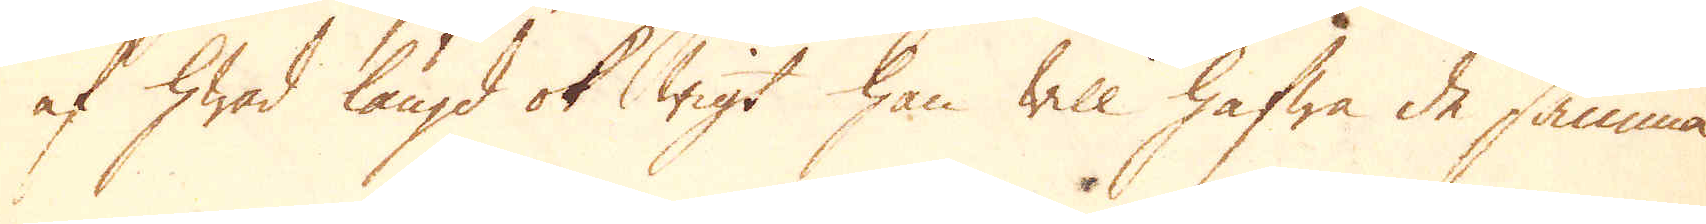af hwad längd ok wigt han will hafwa de samma.
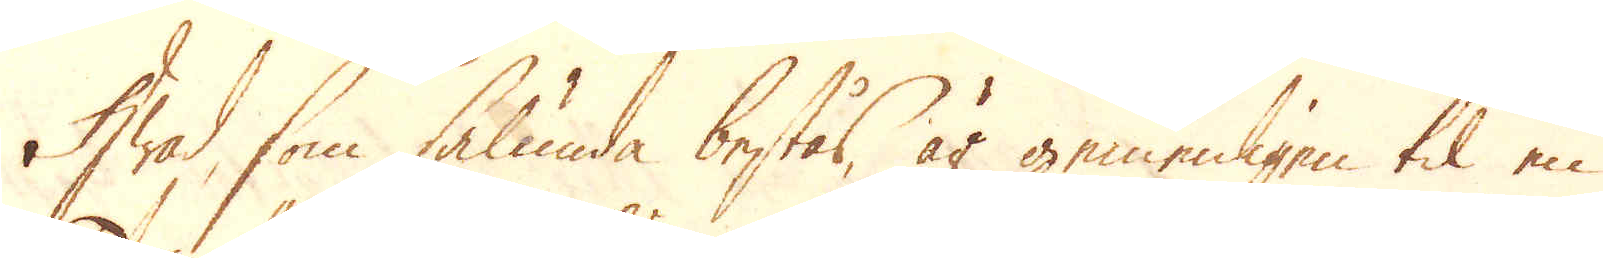Hwad, som sålunda bestås, är gemenligen til en
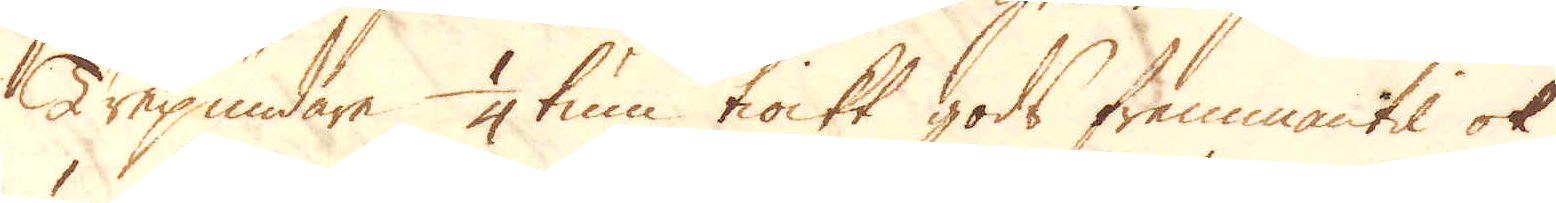Trepundare 1/4 tum tiockt gods frammantil ok
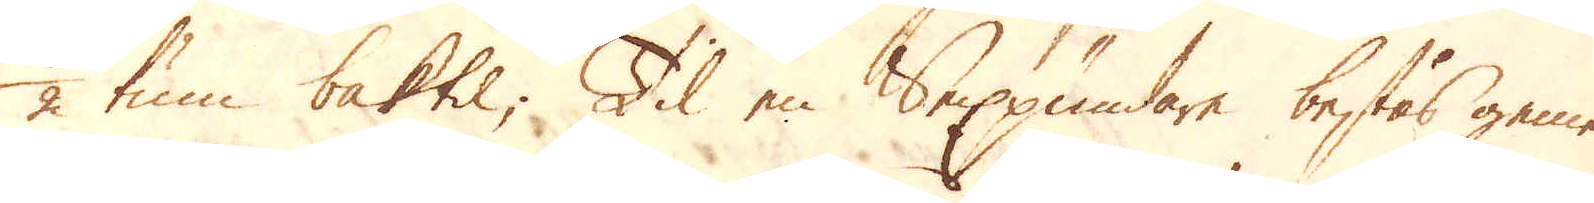1/2 tum baktil; Til en Sexpundare bestås gemen-
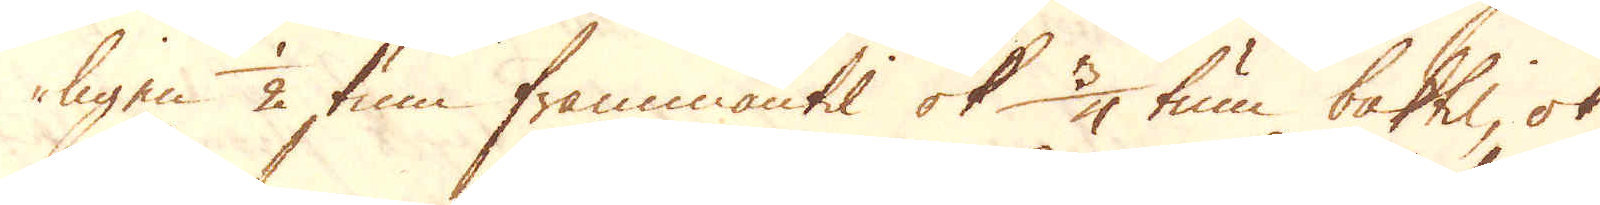ligen 1/2 tum frammantil ok 3/4 tum baktil, ok
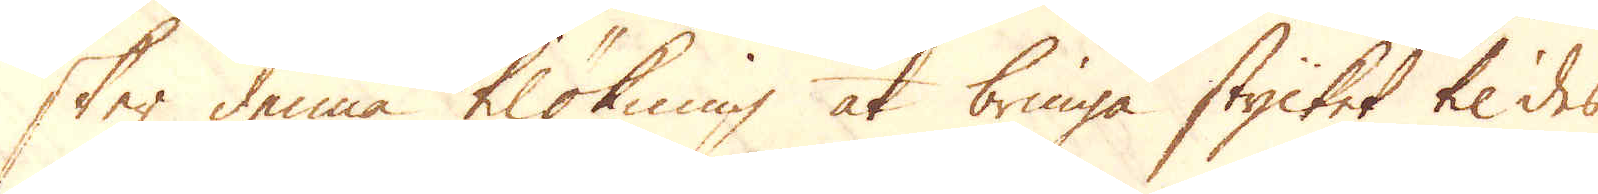sker denna tilökning at bringa stycket til des
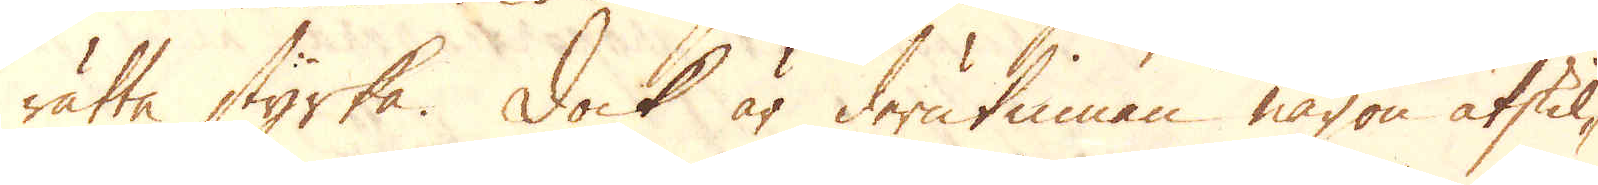rätta styrka. Dock är derutinnan någon åtstil-
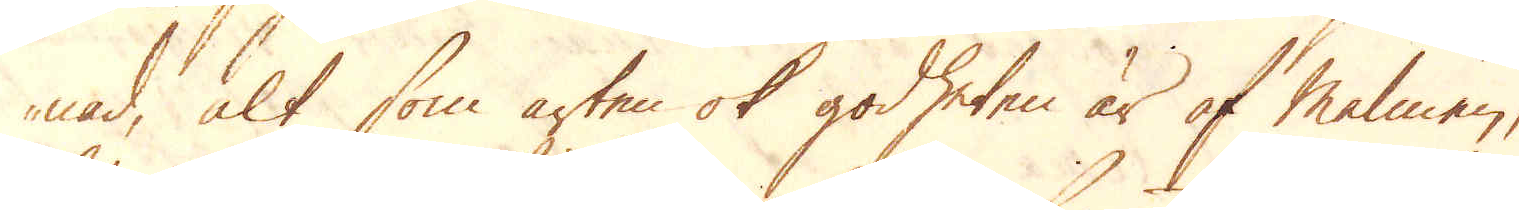nad, alt som arten ok godheten är af Malmen,
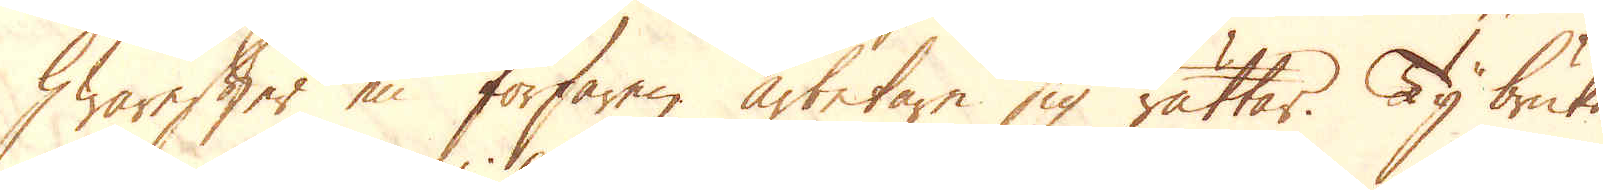hwarefter en forfaren arbetare sig rättar. Ty bruka
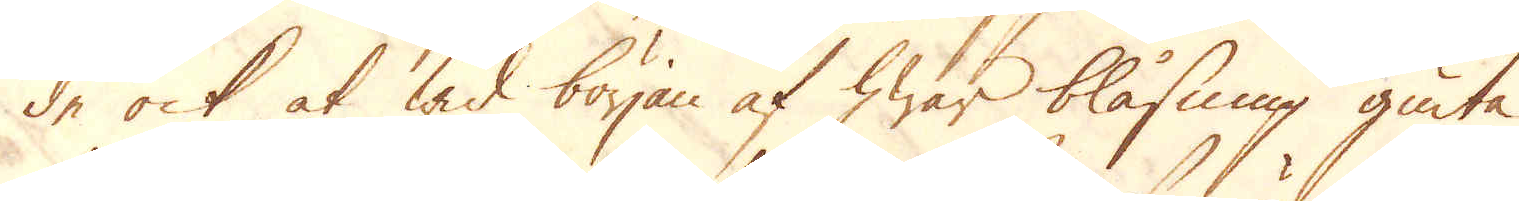de ock at wid början af hwar blåsning giuta
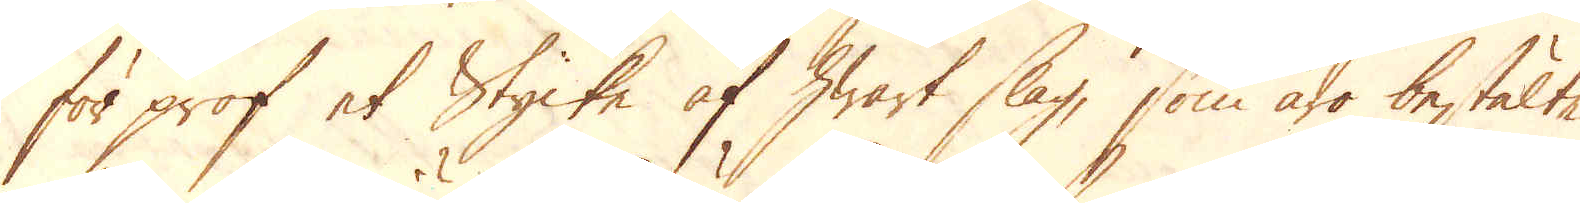för prof et Stycke af hwart slag, som äro bestälte
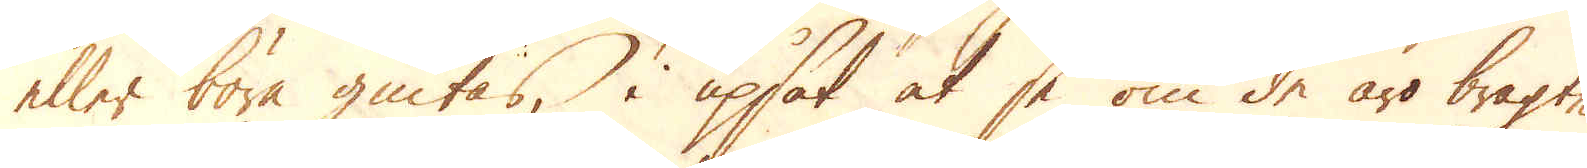eller böra giutas, i upsåt at se om de äro bragte
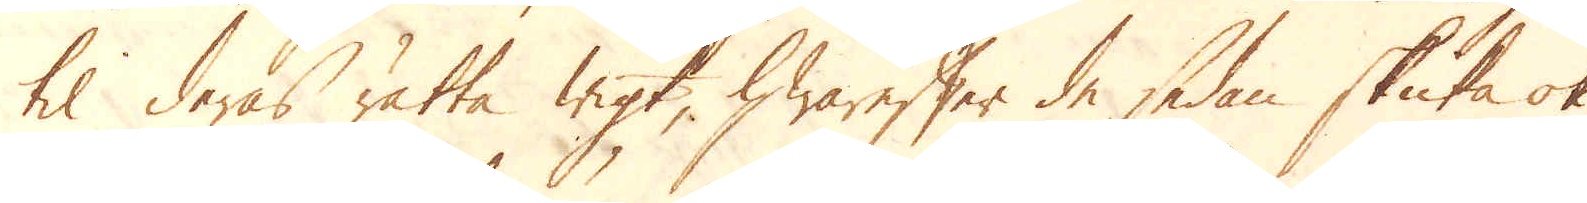til deras rätta wigt, hwarefter de sedan skuta ok
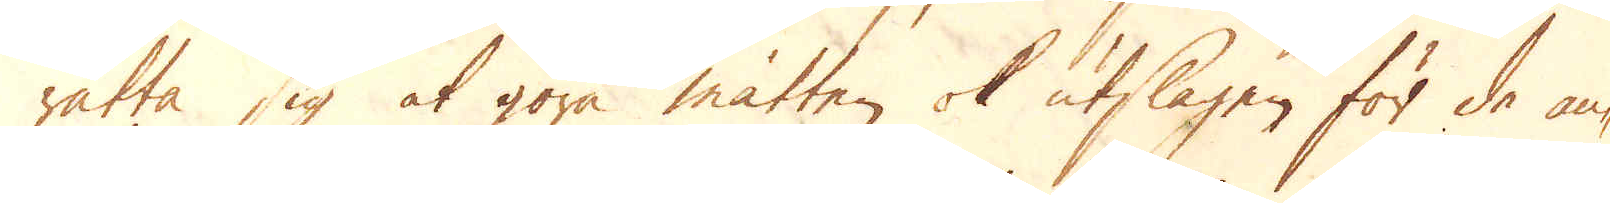rätta sig at göra måtten ok utslagen för de an-
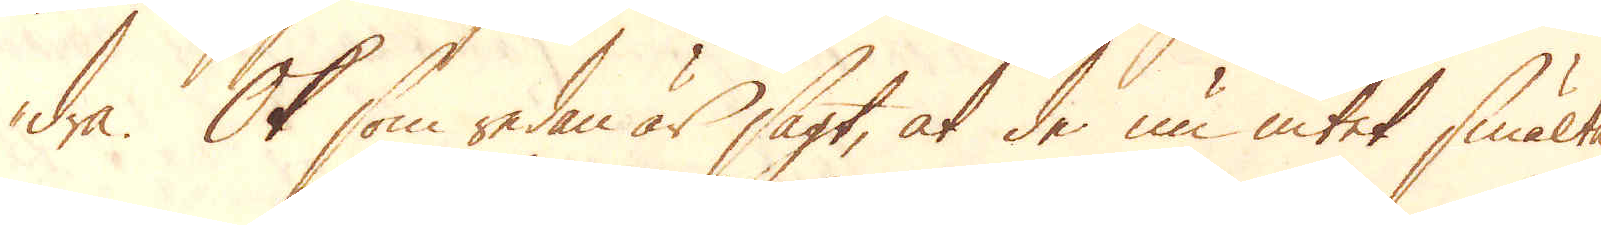dra. Ok som redan är sagt, at de nu intet smälte
